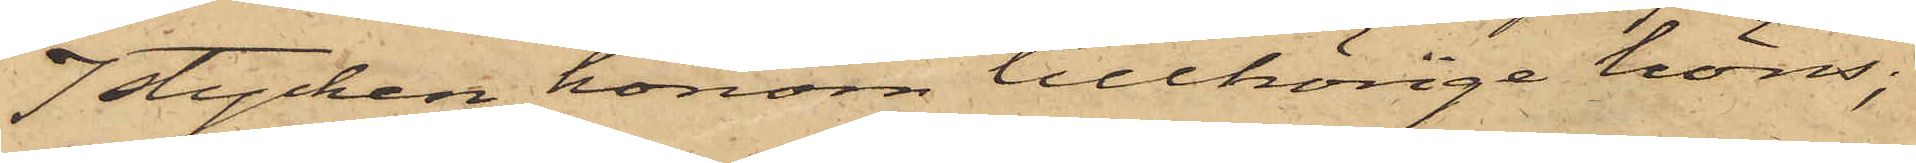7 stycken honom tillhörige höns;
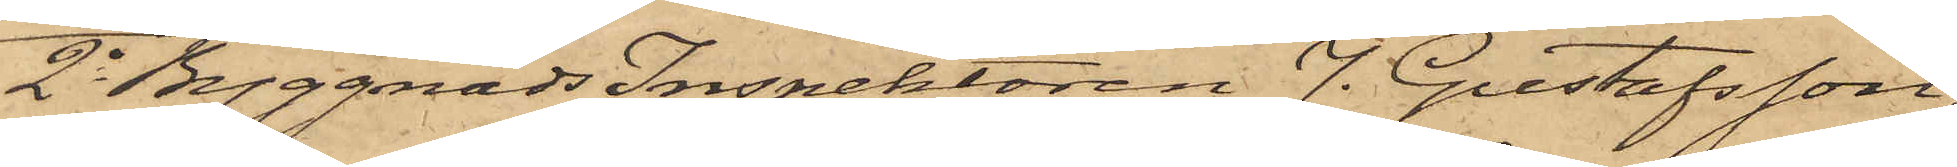2o ByggnadsInspektoren J. Gustafsson,
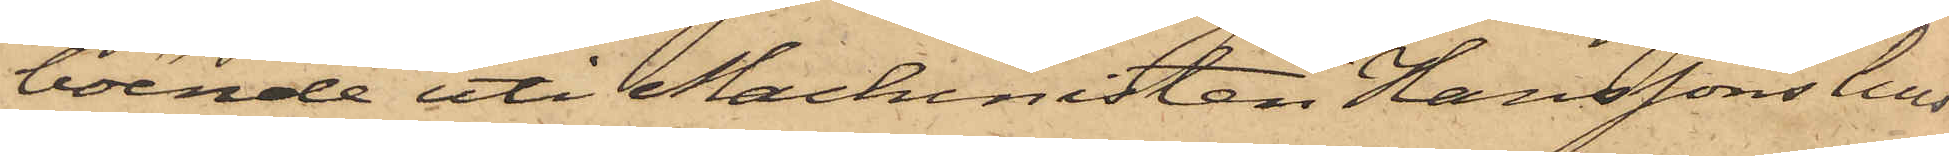boende uti Machinisten Hanssons hus
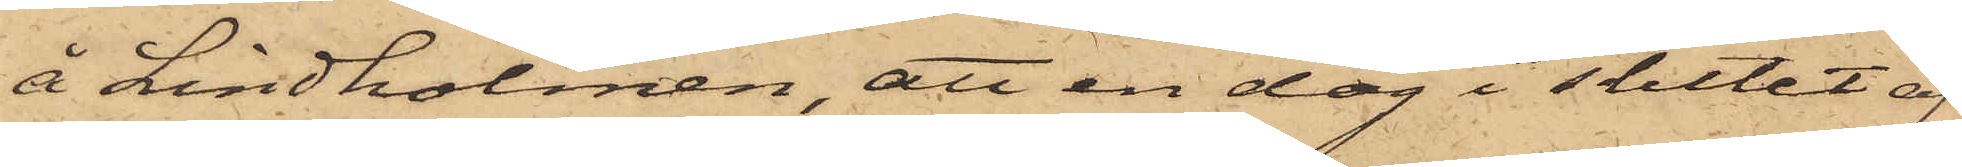å Lindholmen, att en dag i slutet af
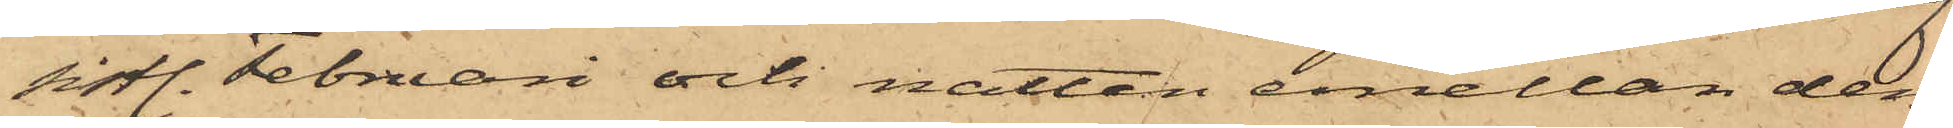sistl. Februari och natten emellan den
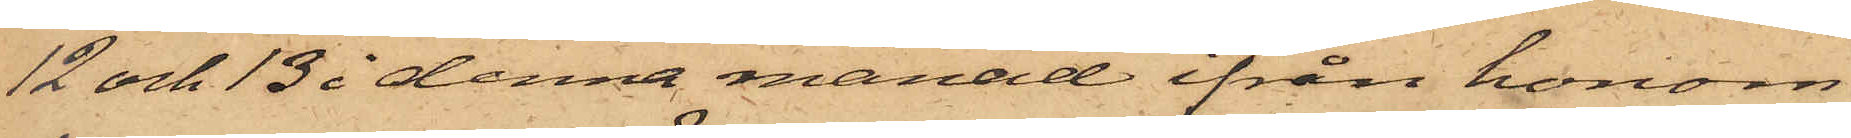12 och 13 i denna månad ifrån honom
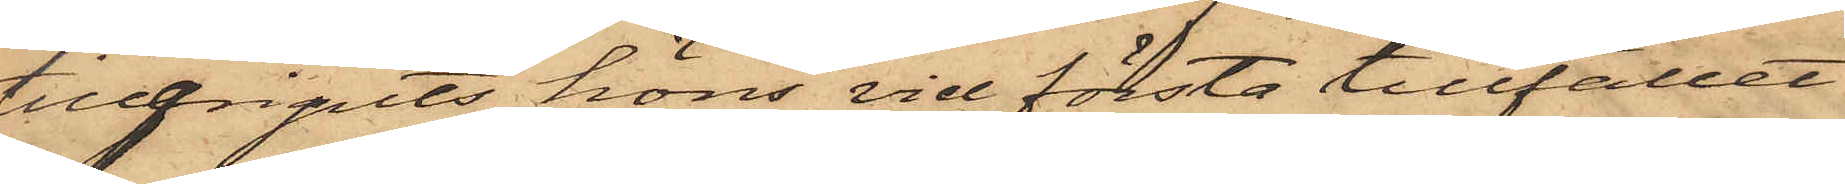tillgripits höns vid första tillfället
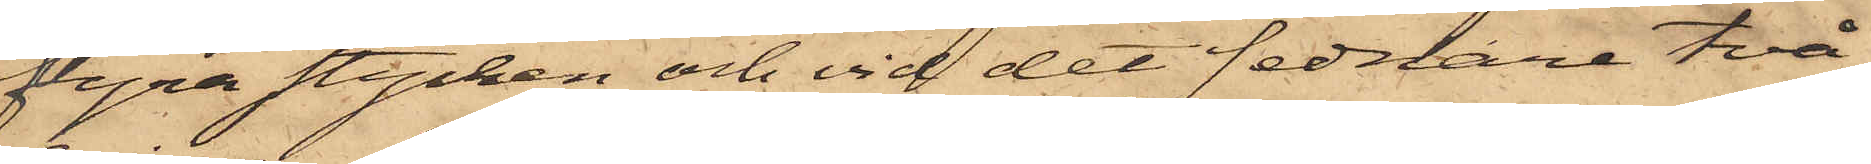fyra stycken och vid det sednare två,
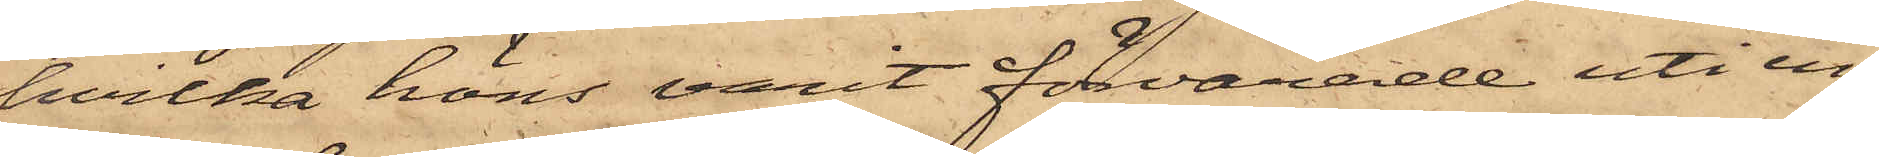hvilka höns varit förvarade uti en
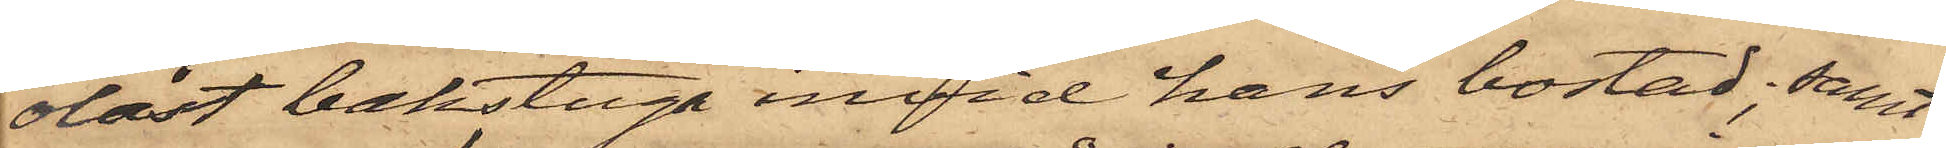olåst bakstuga invid hans bostad; samt
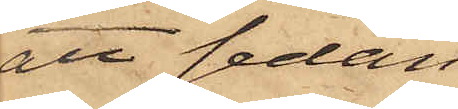att sedan
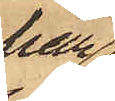han
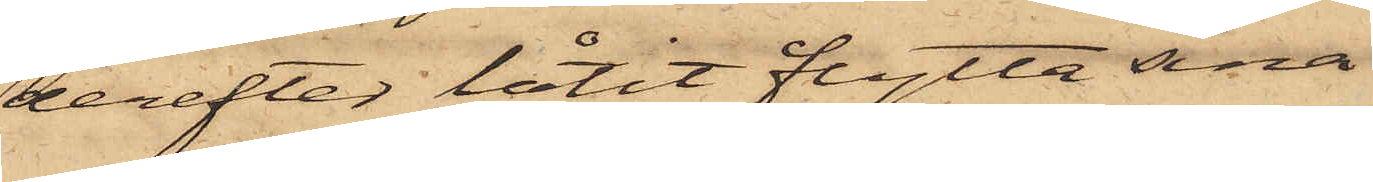derefter låtit flytta sina
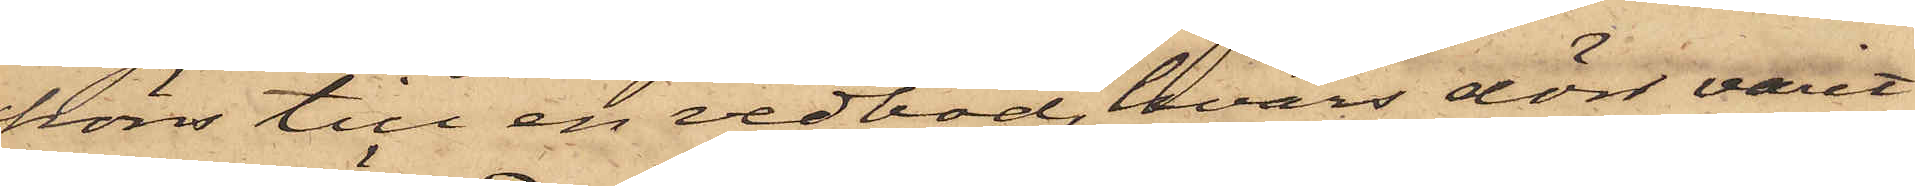höns till en vedbod, hvars dörr varit
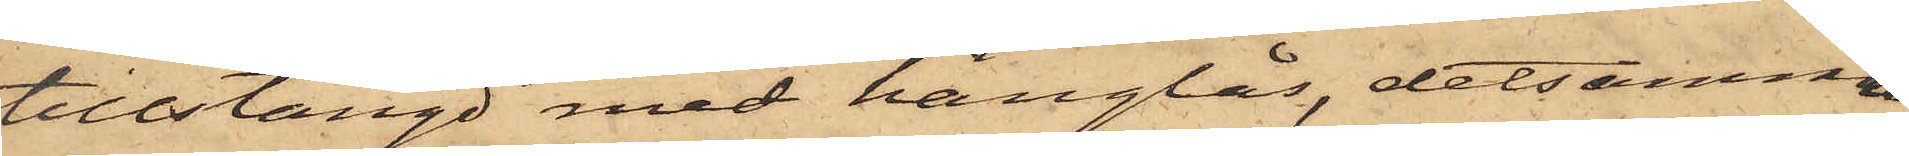tillstängd med hänglås, detsamma
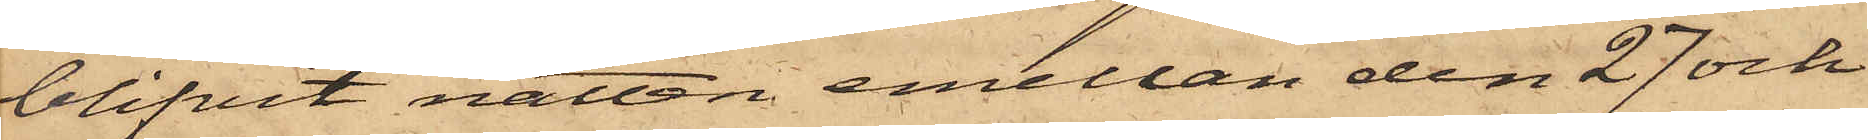blifvit natten emellan den 27 och
